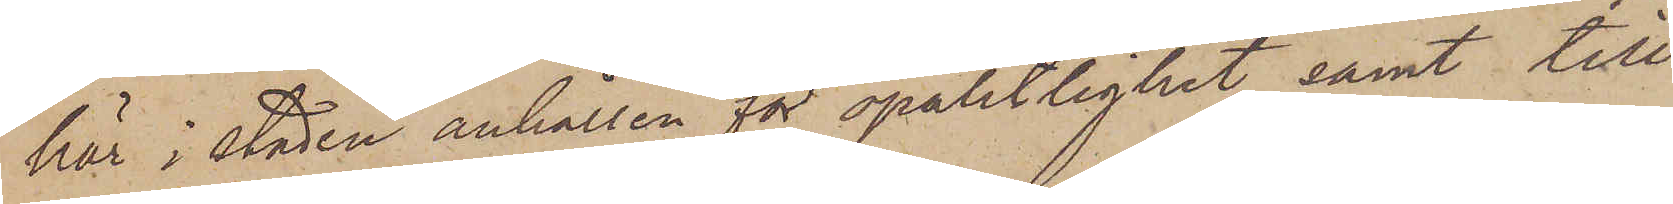här i staden anhållen för opålitlighet samt till
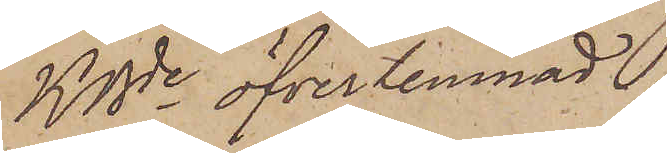KBde öfverlemnad.
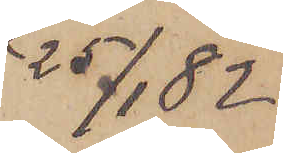25/1  82
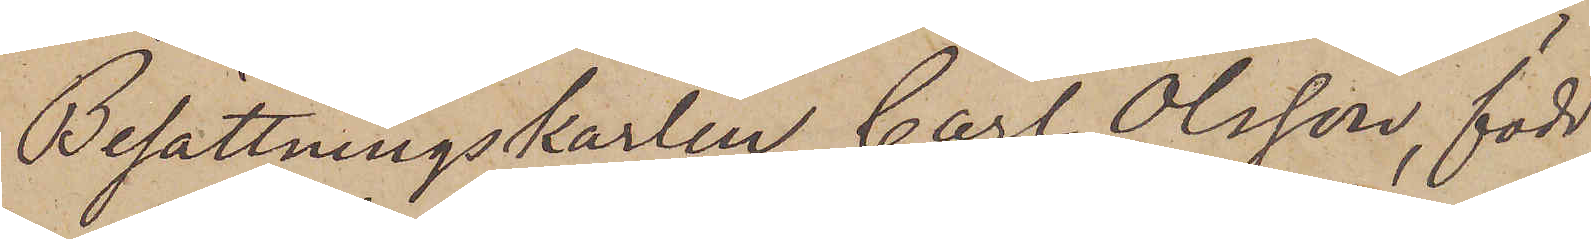Besättningskarlen Carl Olsson, född
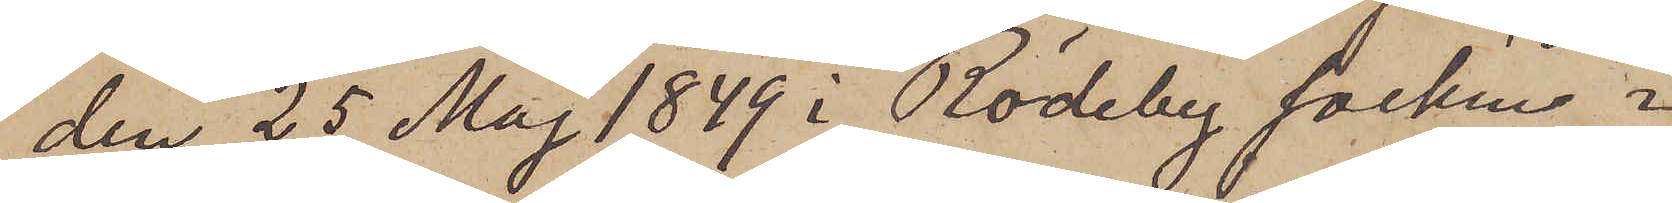den 25 Maj 1849 i Rödeby socken i
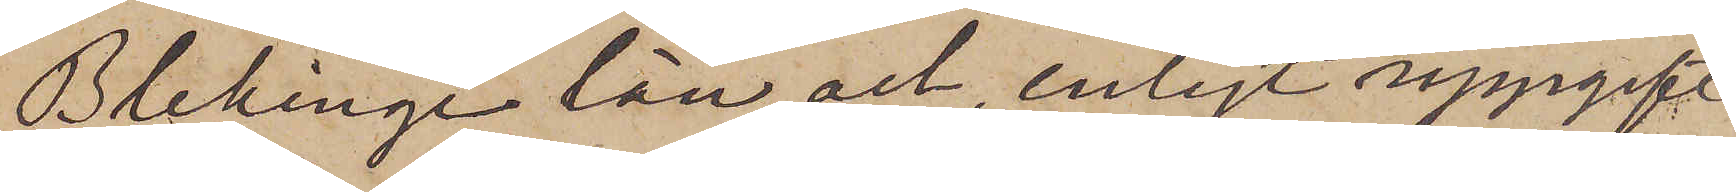Blekinge län och, enligt uppgift
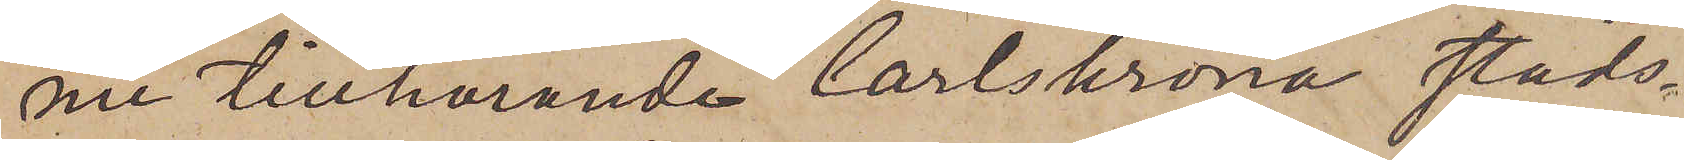nu tillhörande Carlskrona stads¬
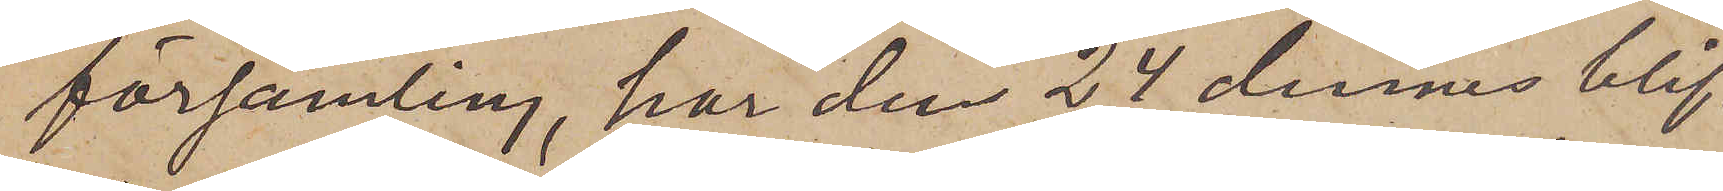församling, har den 24 dennes blif¬
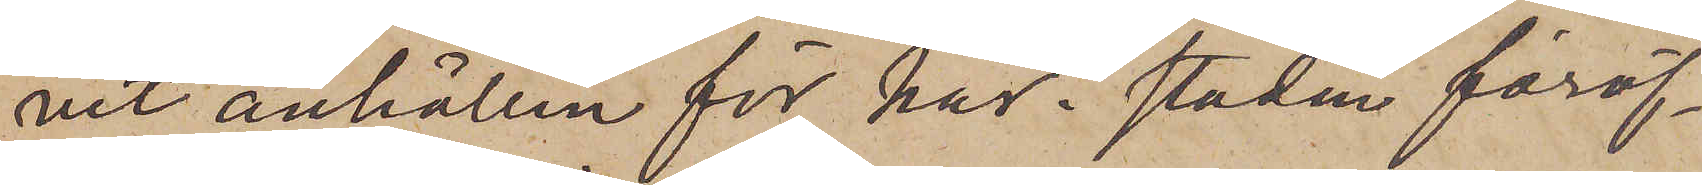vit anhållen för här i staden föröf¬
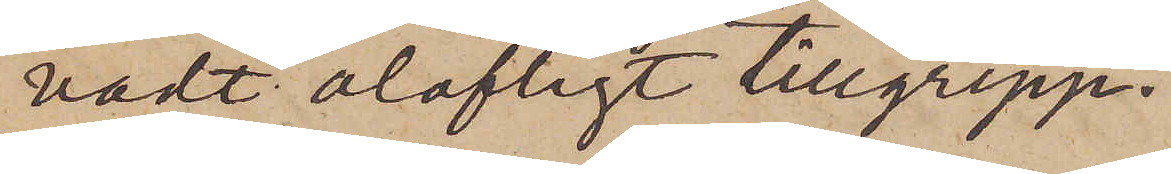vadt olofligt tillgrepp.
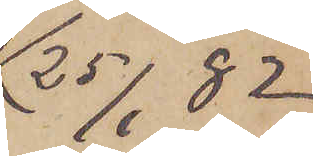25/1  82.
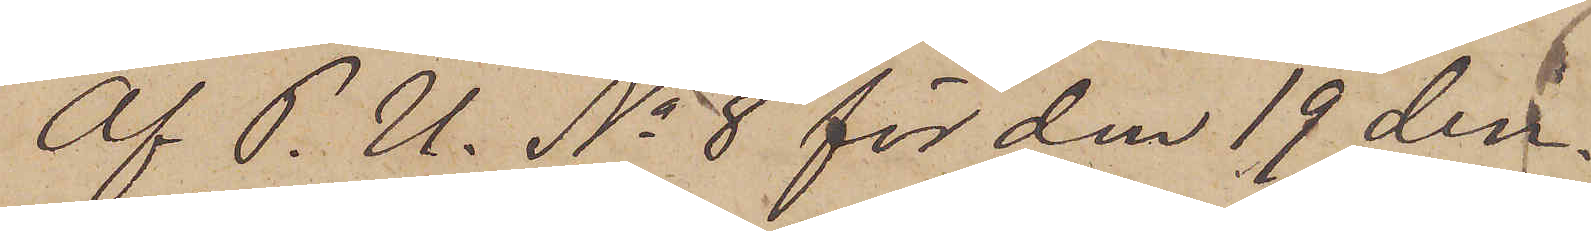Af P. U. No 8 för den 19 den¬
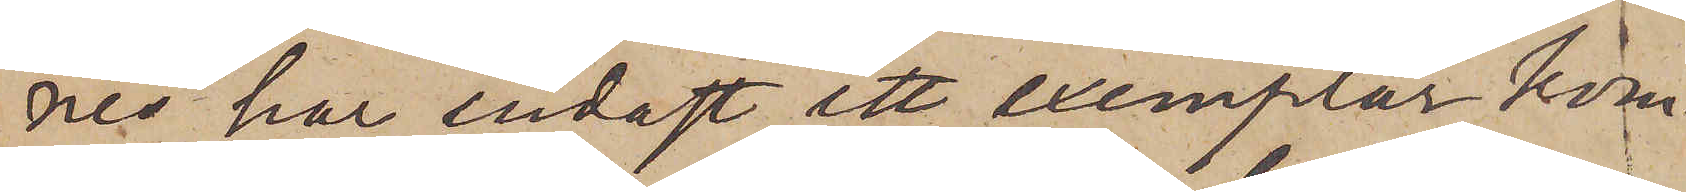nes har endast ett exemplar kom¬
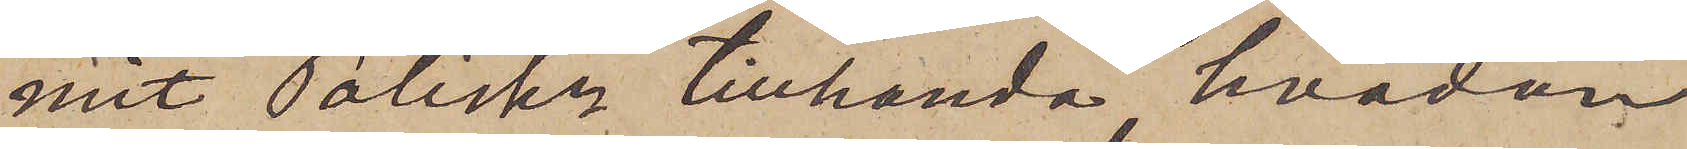mit Poliskn tillhanda, hvadan
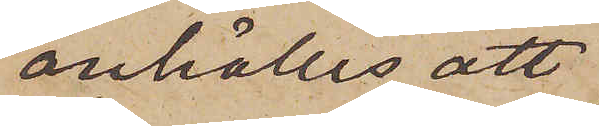anhålles att
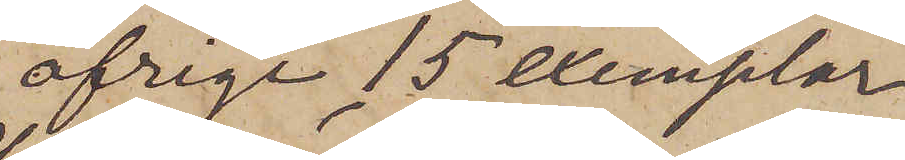öfrige 15 exemplar
